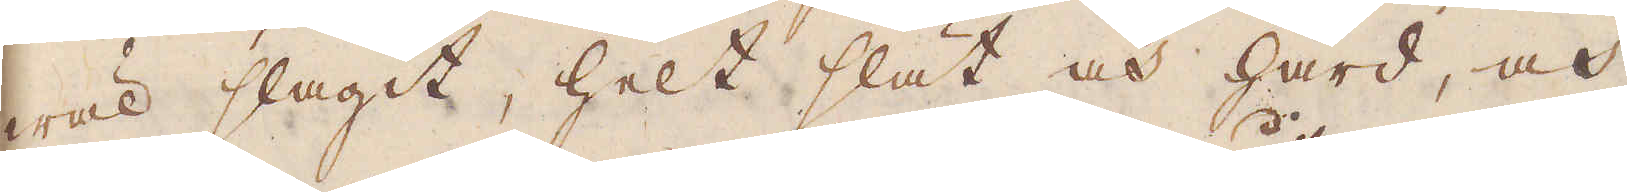wäl slagit, helt slät och hård, och
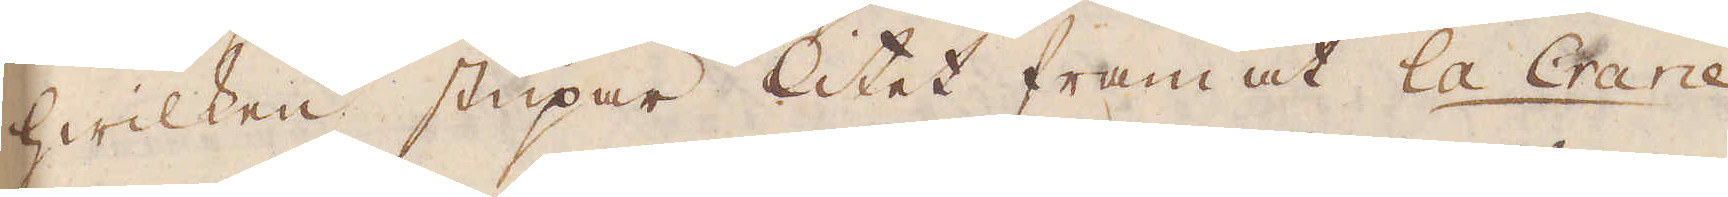hwilken stupar litet fram åt la Crane
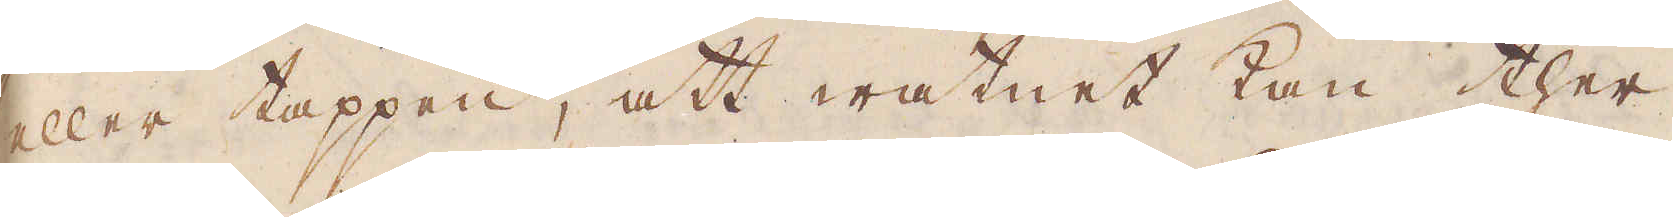eller tappen, att watnet kan ther
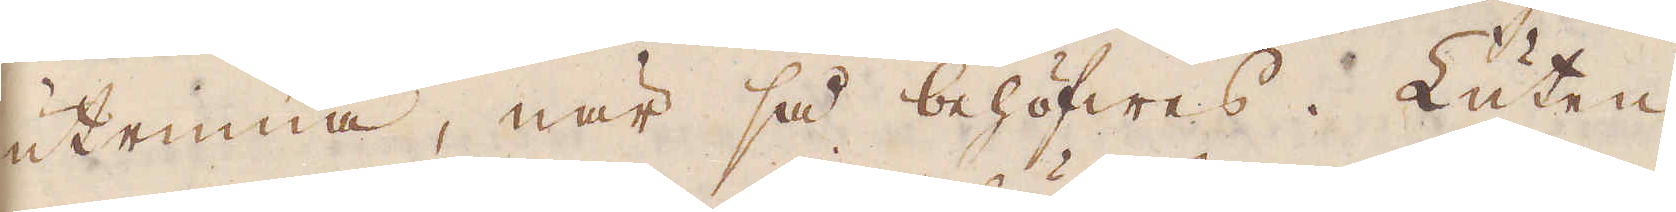utrinna, när så behöfwes. Luten
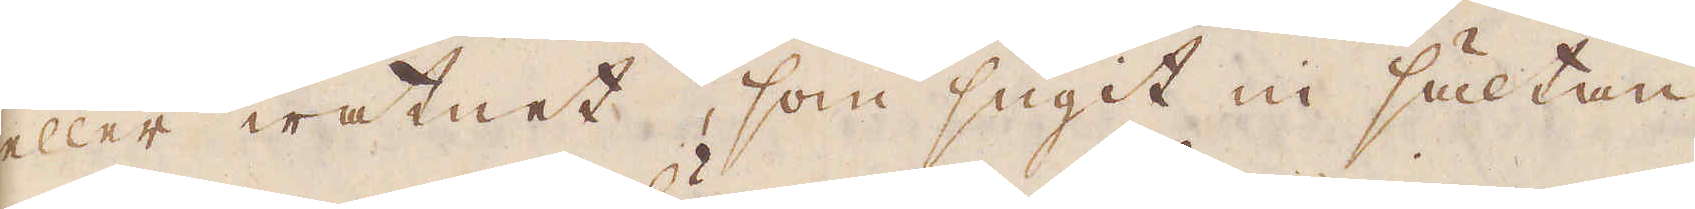eller watnet, som sugit in sältan
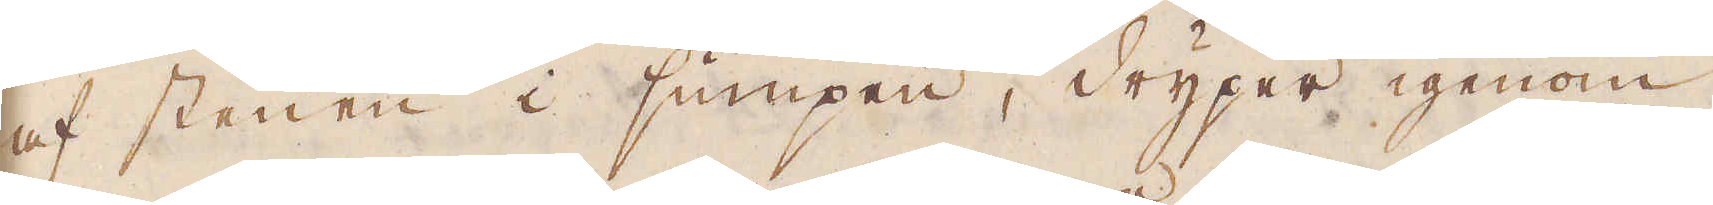af stenen i sumpen, dryper igenom
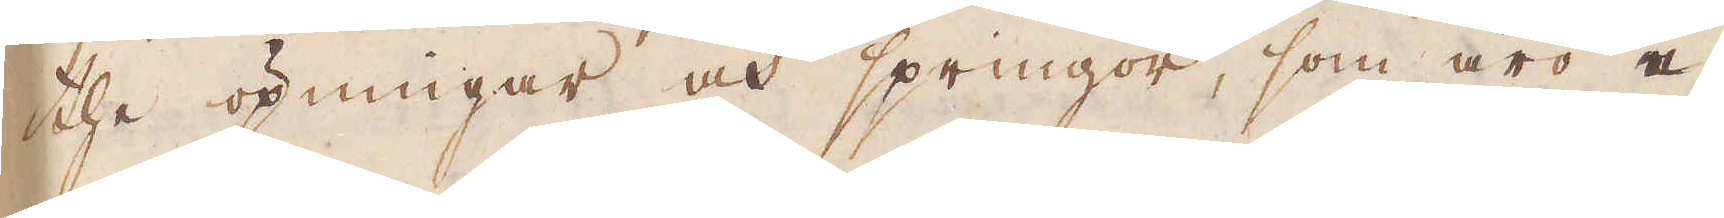the öpningar och springor, som äro e-
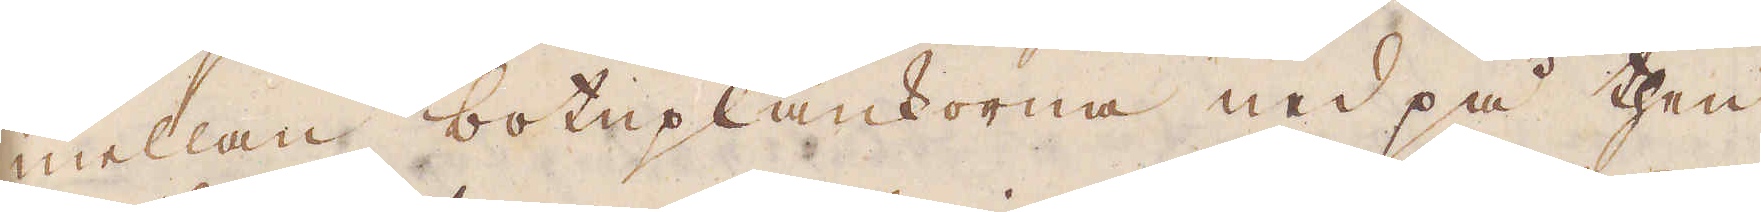mellan botnplankorna ned på then
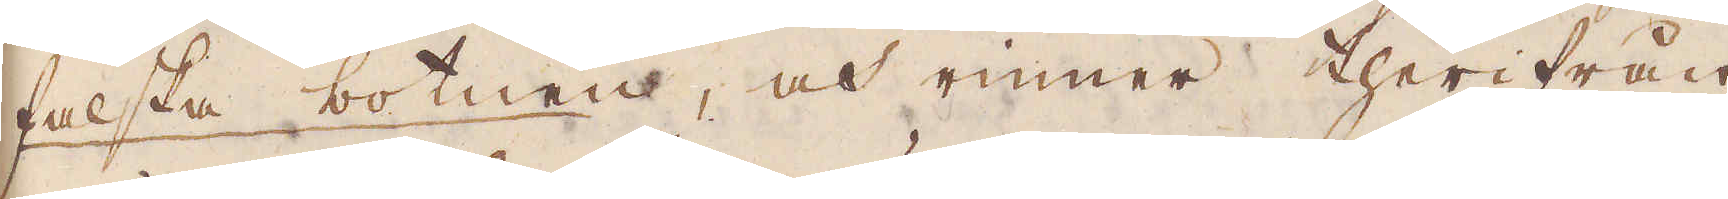falska botnen, och rinner therifrån
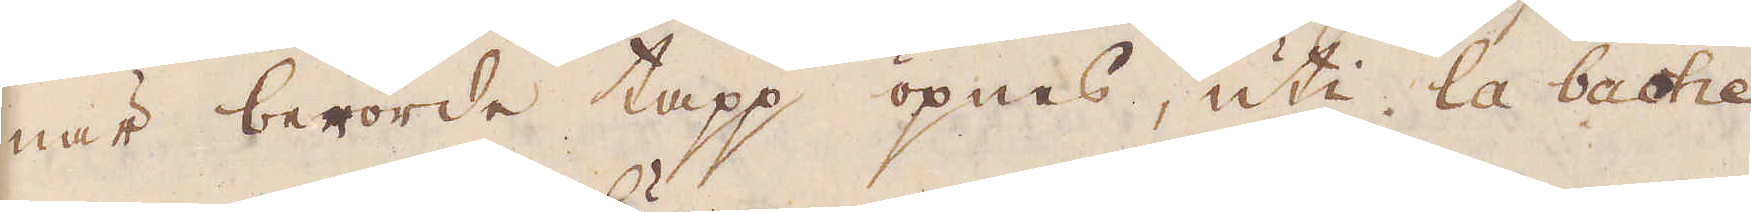när berörde tapp öpnas, uti la bashe
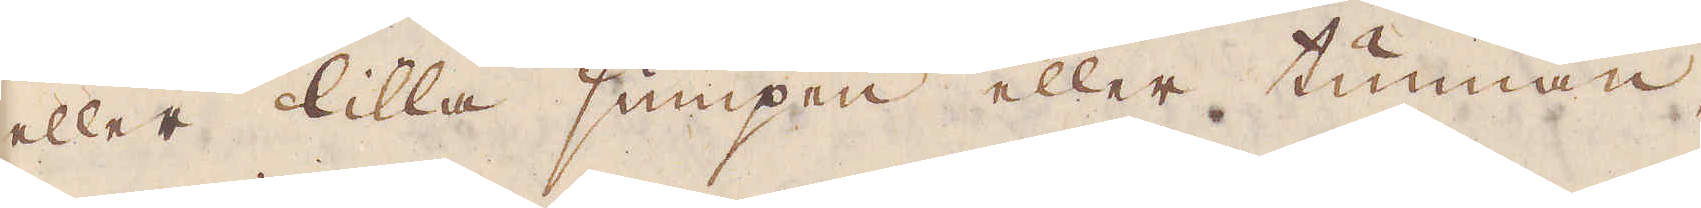eller lilla sumpen eller tunnan,
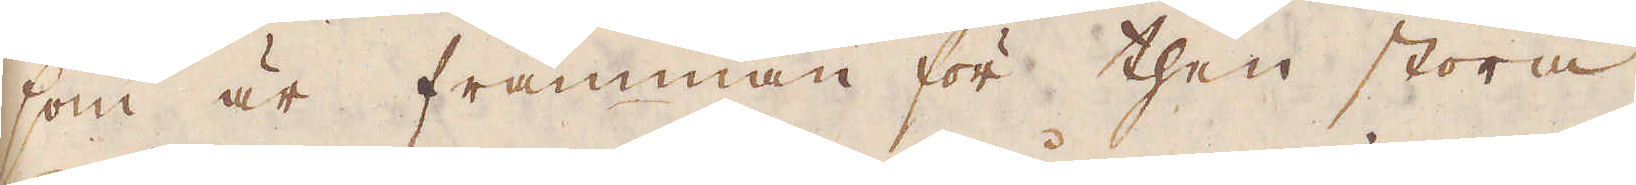som är framman för then stora
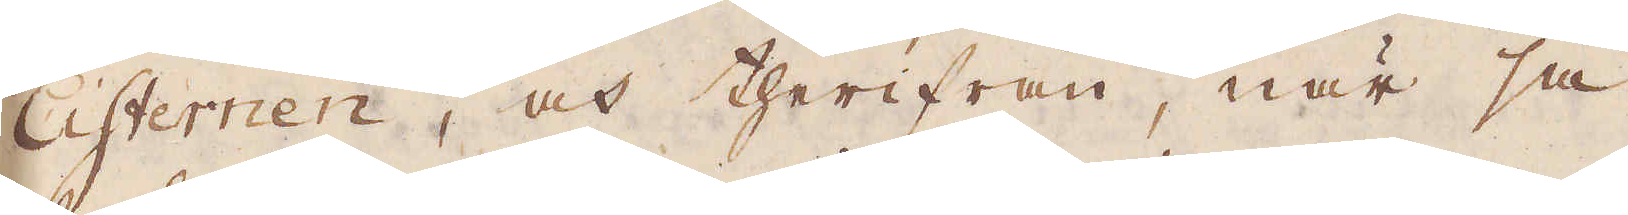Cisternen, och therifrån, när så
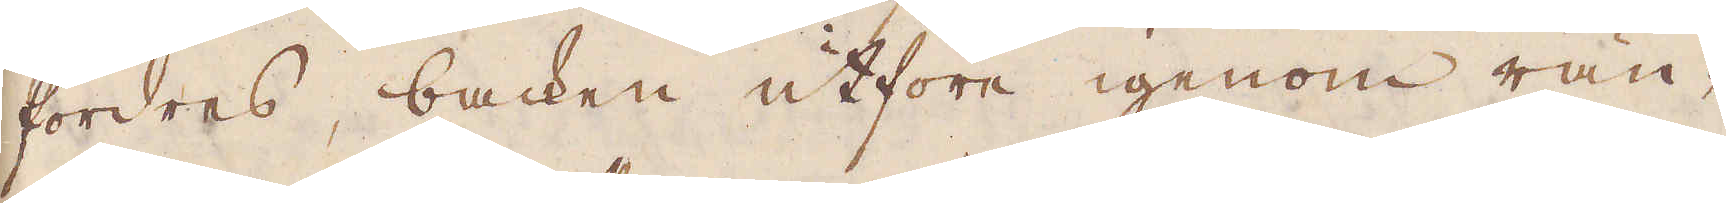fordras, backen utföre igenom rän-
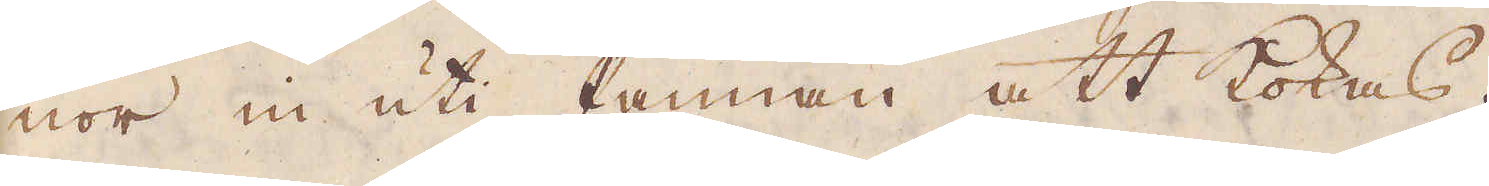nor in uti Pannan att kokas.
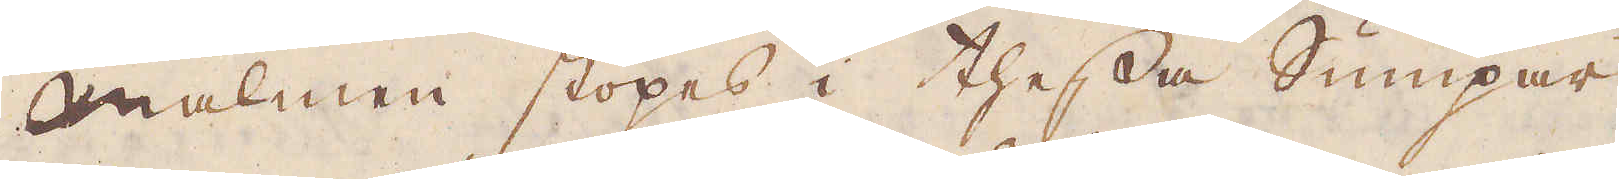Malmen stöpes i thessa Sumpar
